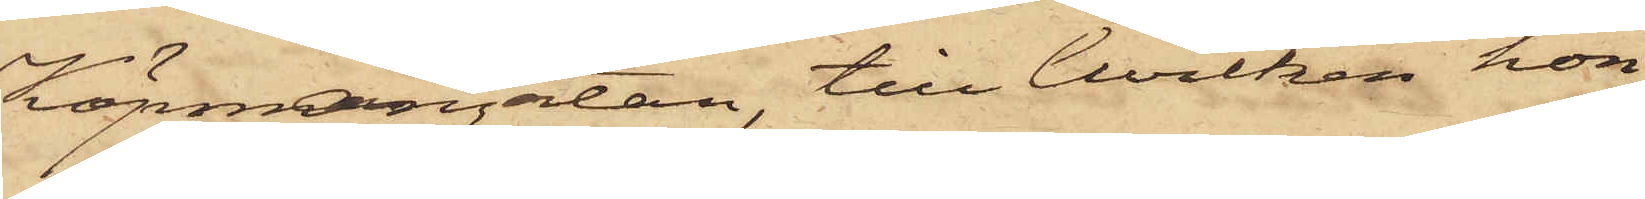Köpmangatan, till hvilken hon
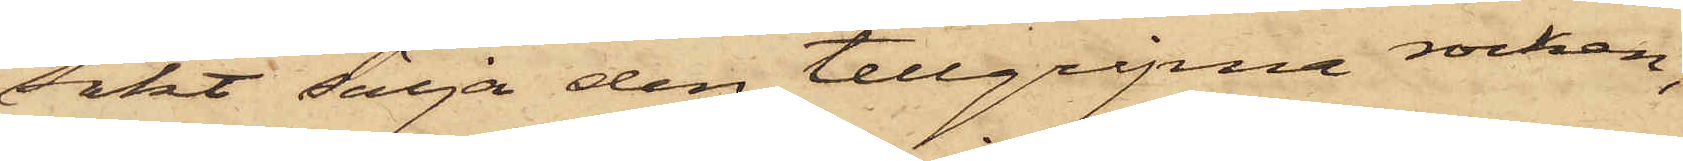sökt sälja den tillgripne rocken,
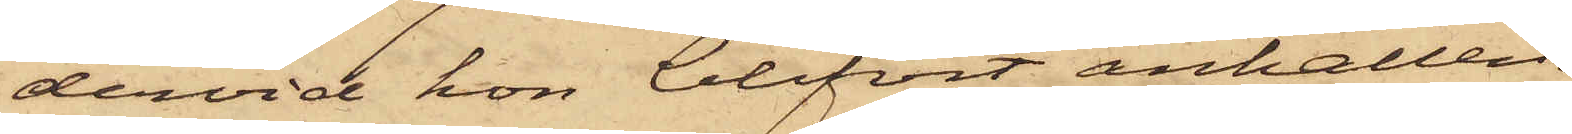dervid hon blifvit anhållen.
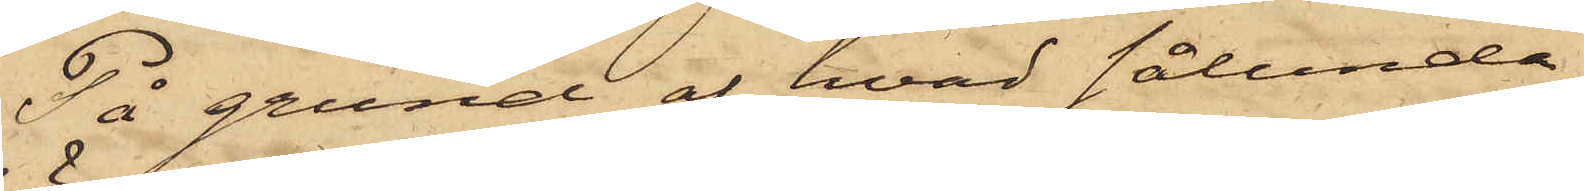På grund af hvad sålunda
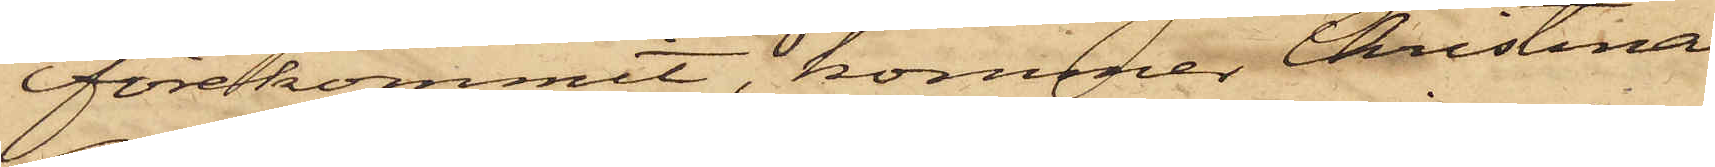förekommit, kommer Christina
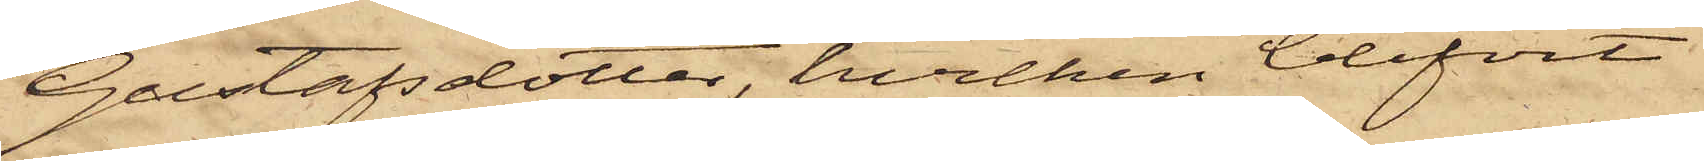Gustafsdotter, hvilken blifvit
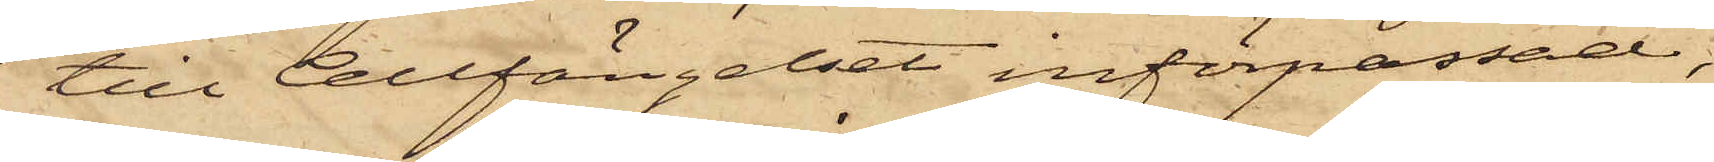till Cellfängelset införpassad,
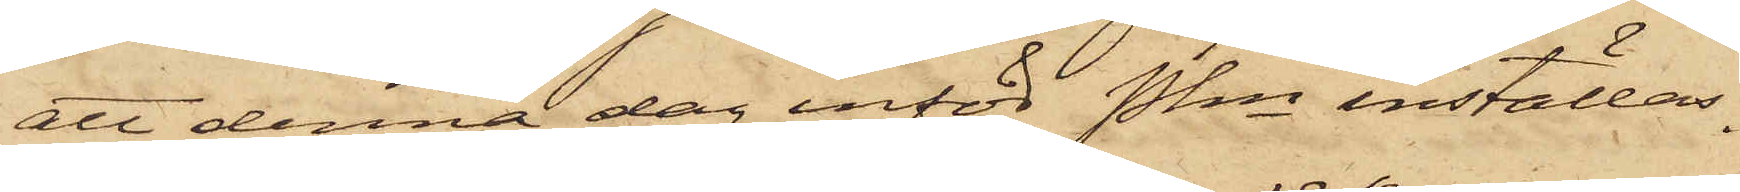att denna dag inför Pkn inställas.
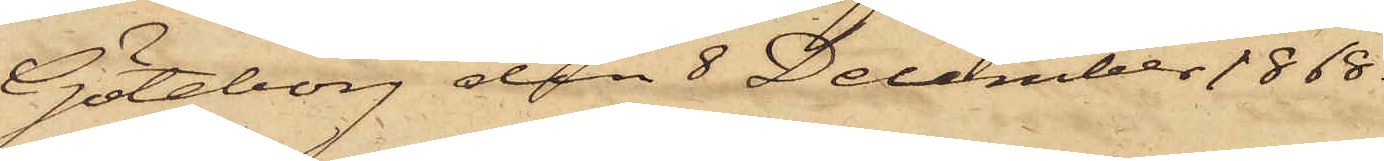Göteborg den 8 December 1868.
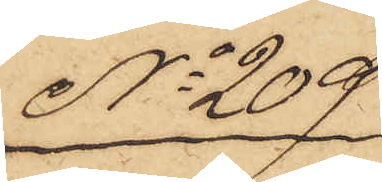No 209
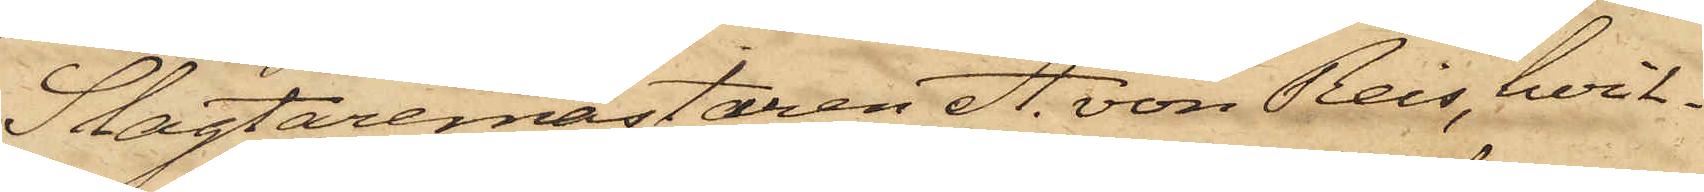Slagtaremästaren A. von Reis, hvil¬
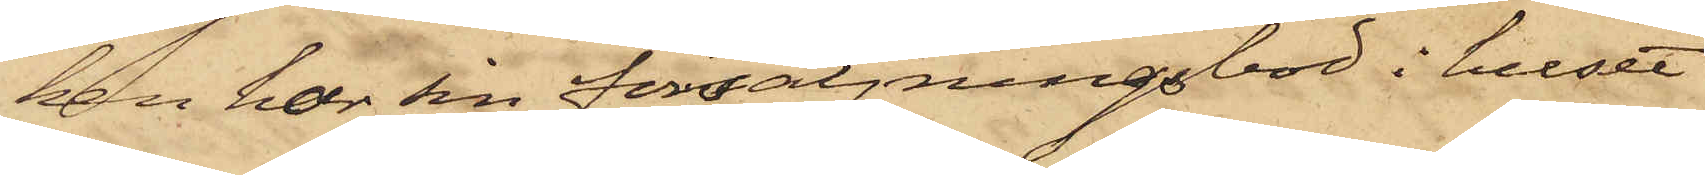ken har sin försäljningsbod i huset
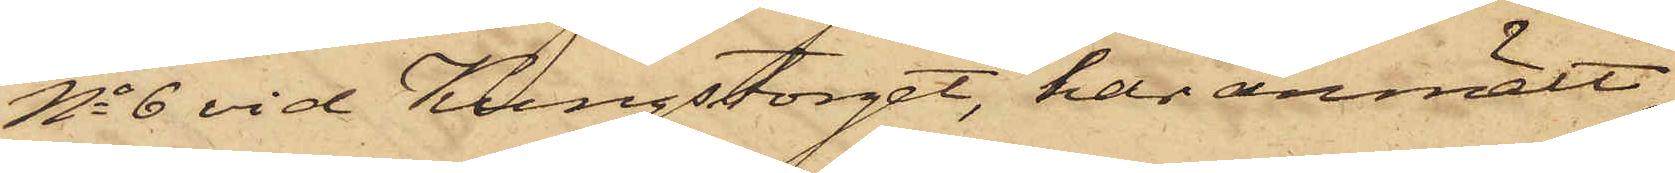No 6 vid Kungstorget, har anmält,
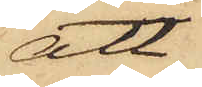att
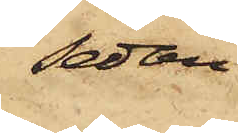sedan
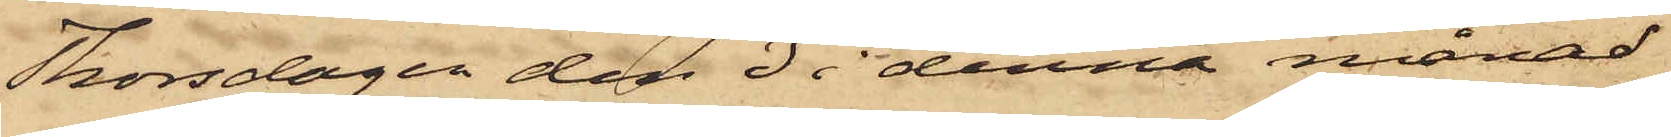Thorsdagen den 3 i denna månad
